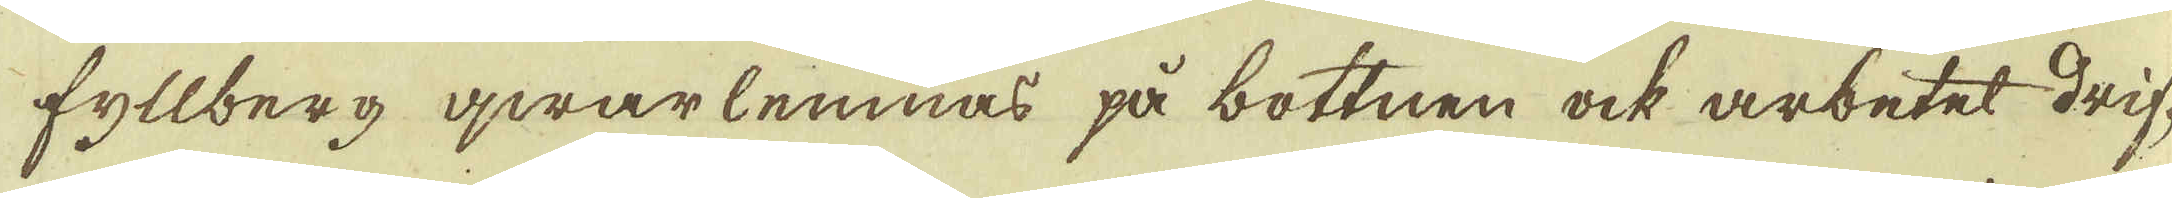fyllberg qwarlemnas på bottnen ock arbetet drif-
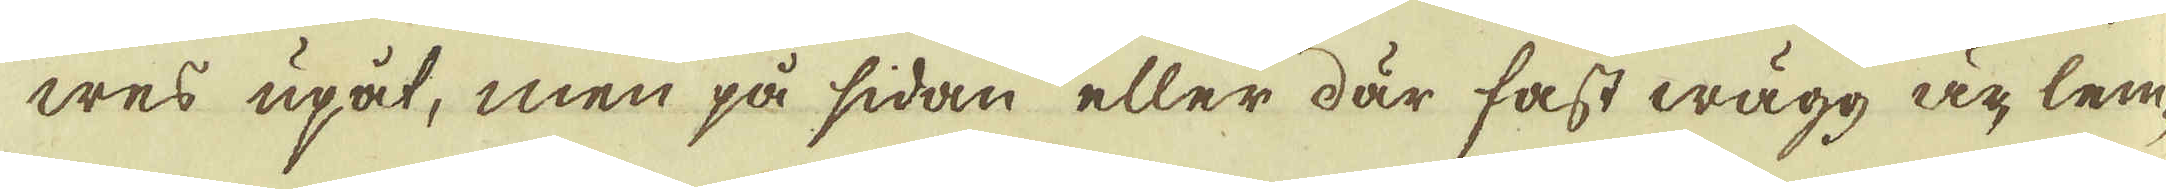wes upåt, men på sidan eller där fast wägg är, lem-
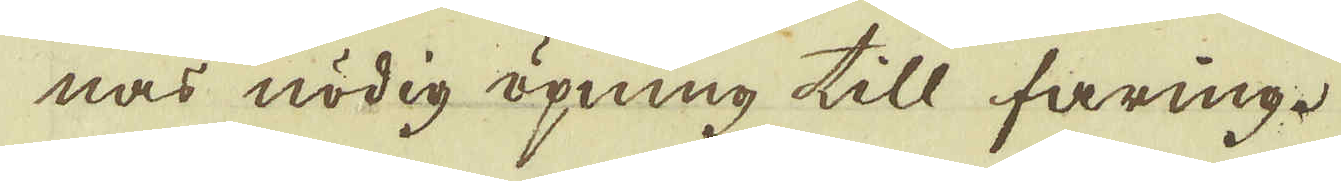nas nödig öpning till faring.
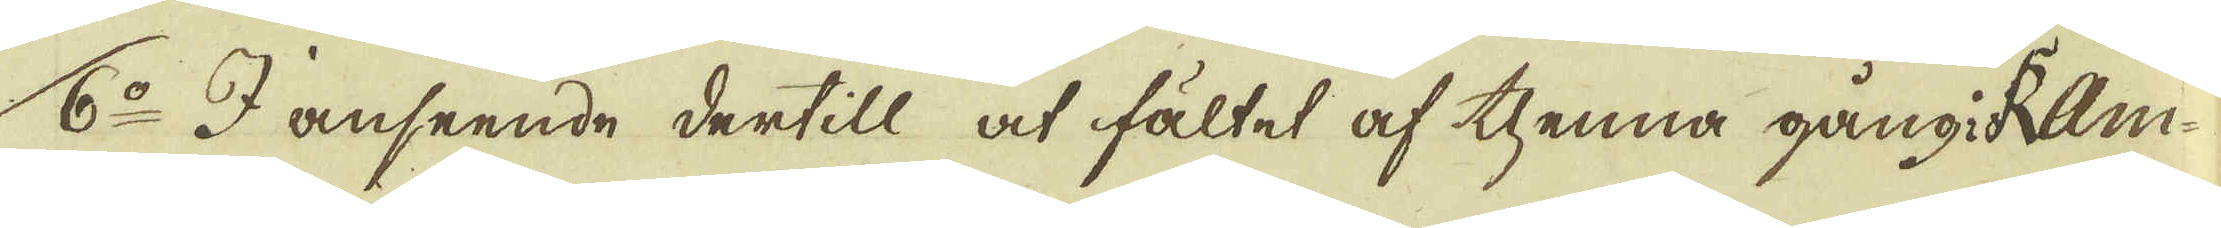6:o I anseende dertill at fältet af thenna gång i Ram-
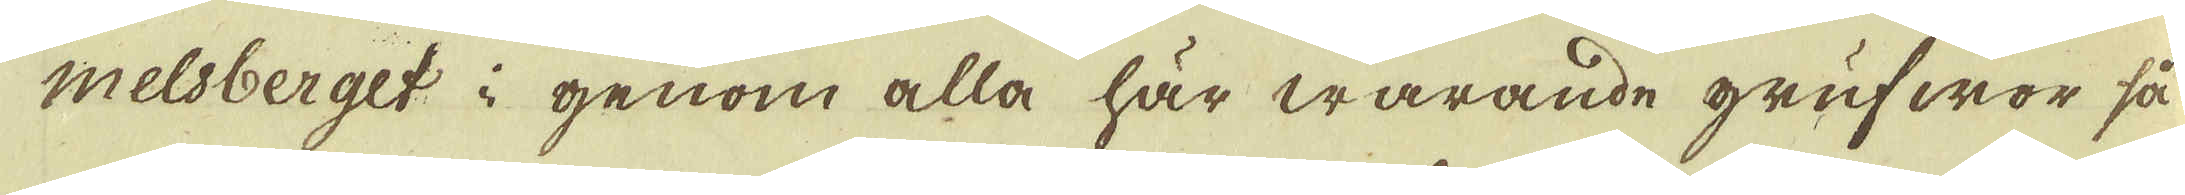melsberget i genom alla här warande grufwor så
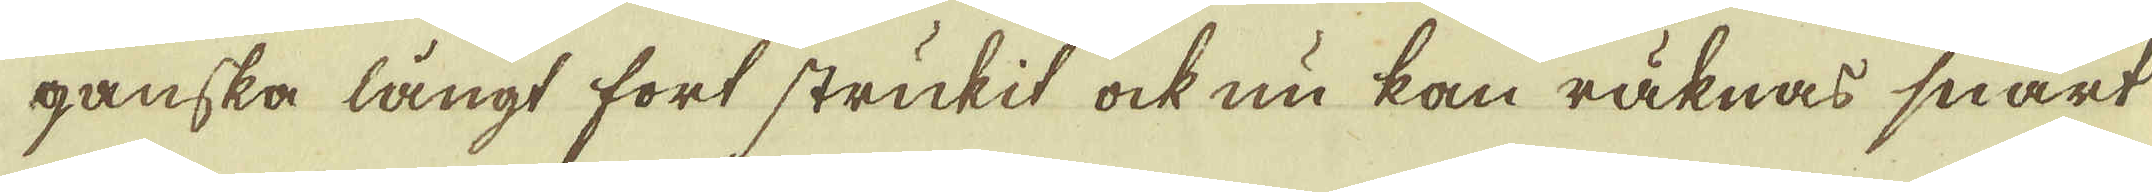ganska långt fort strukit ock nu kan räknas snart
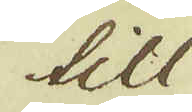till
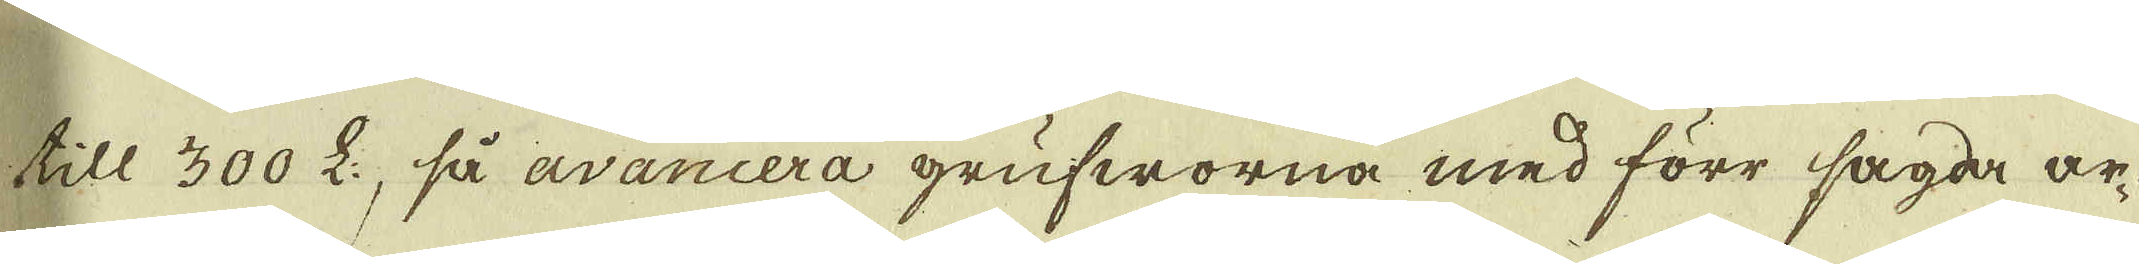till 300 L:, så avancera grufworna med förr sagda ar-
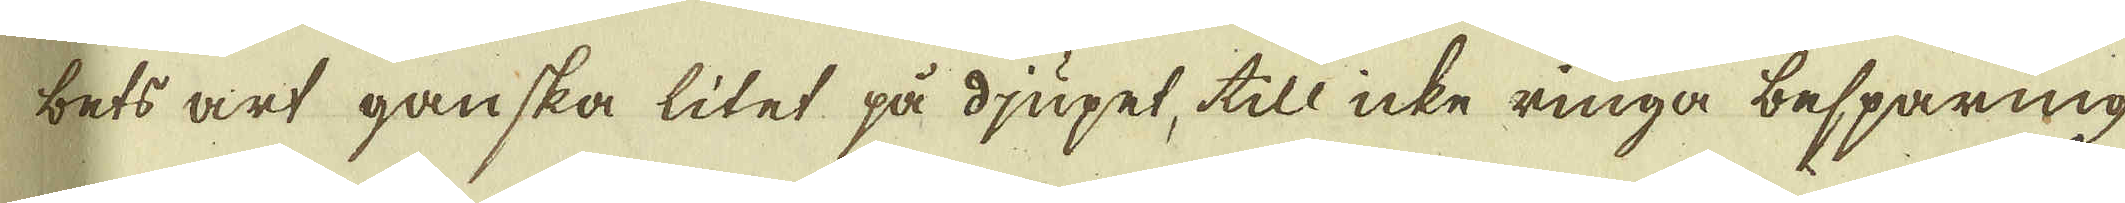bets art ganska litet på djupet, till icke ringa besparing
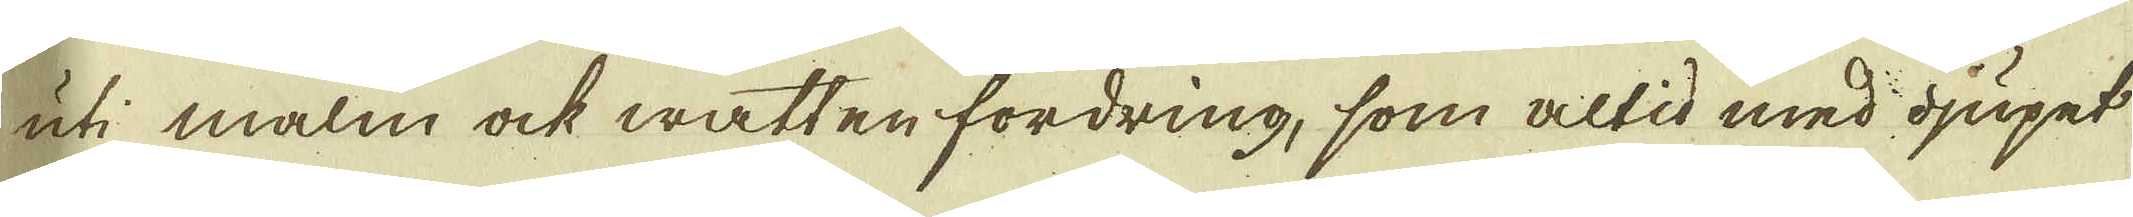uti malm ock watten fordring, som altid med djupet
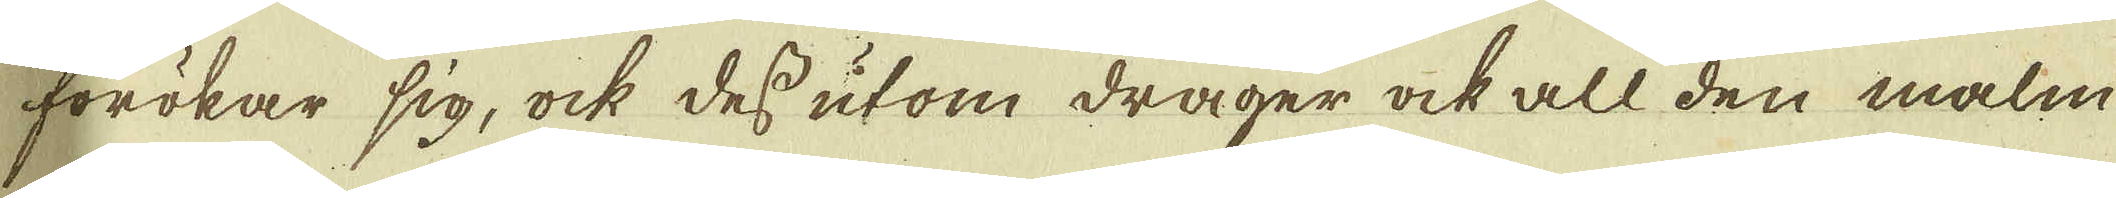förökar sig, ock des utom drager ock all den malm
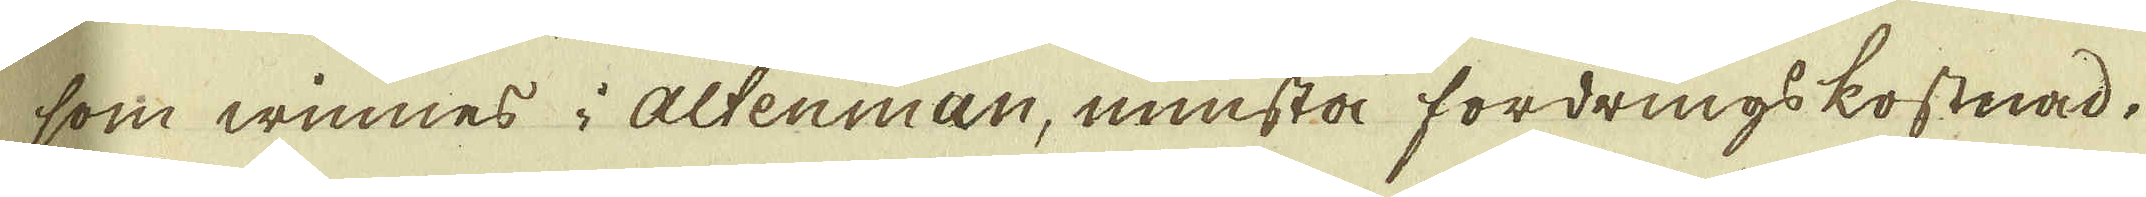som winnes i Altenman, minsta fordrings kostnad.
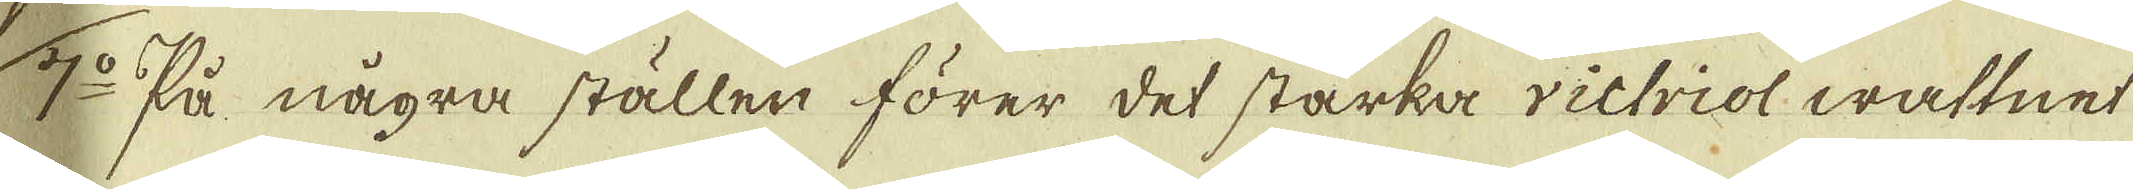7:o På några ställen förer det starka richriol wattnet
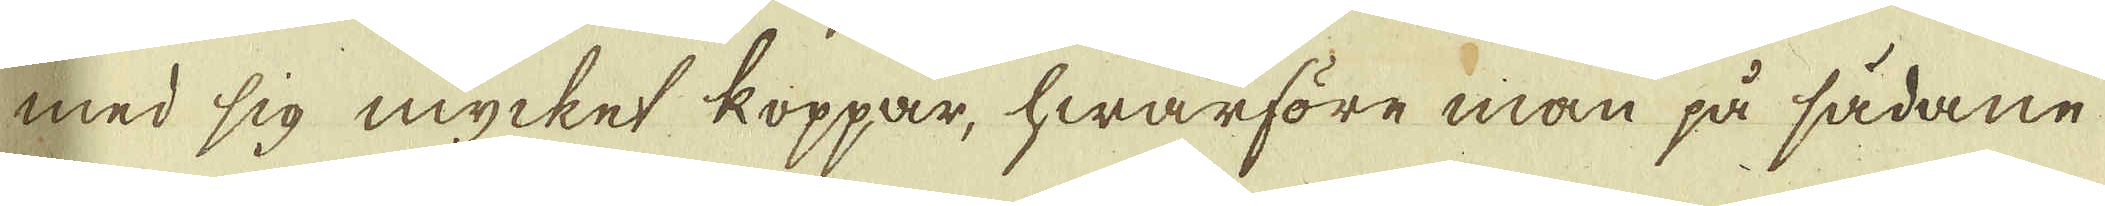med sig myckes koppar, hwarföre man på sådane
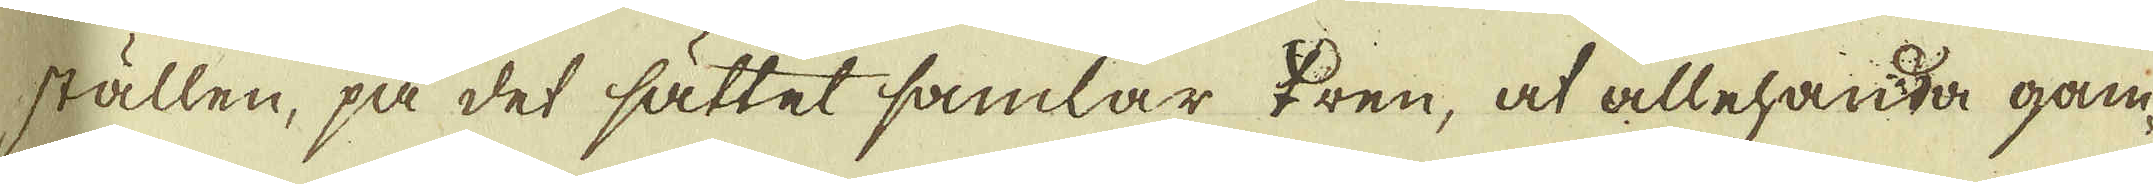ställen, på det sättet samlar ♀ren, at allehanda gam-
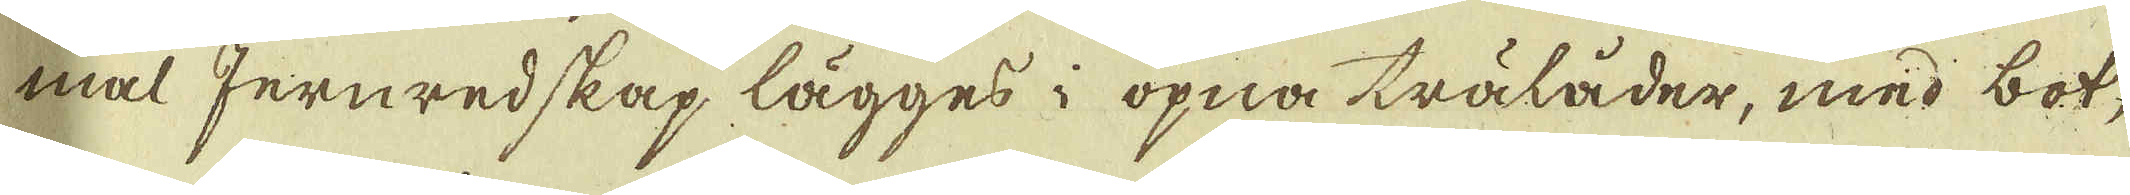mal Jernredskap lägges i öpna tälåder, med bot-
